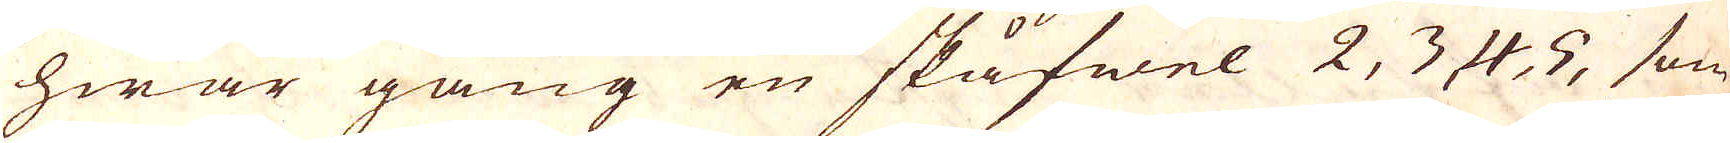hwar gång en skåfwel 2, 3 4, 5, som
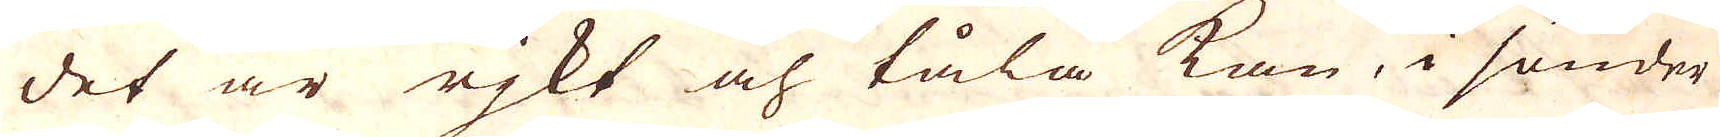det är rjkt och tåla kan, i sänder
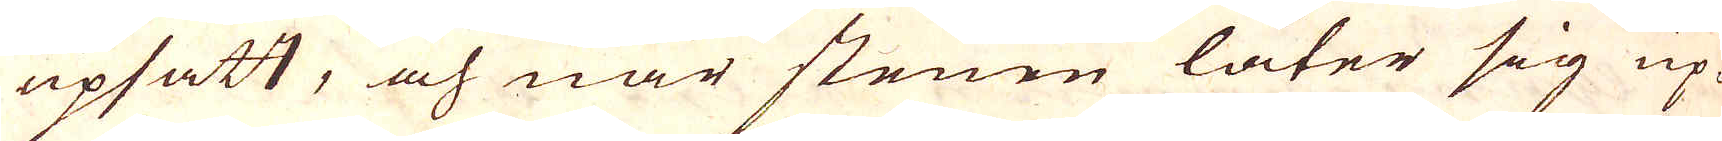upsatt, och när stenen låter sig up-
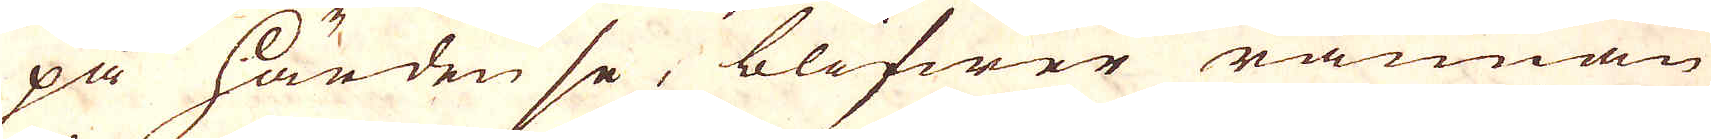på härden se, blifwer rännan
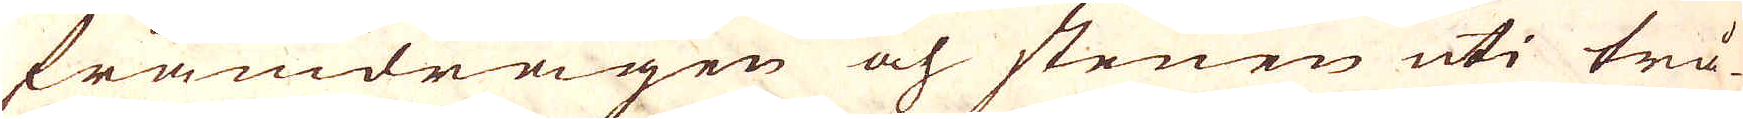framdragen och stenen uti trå-
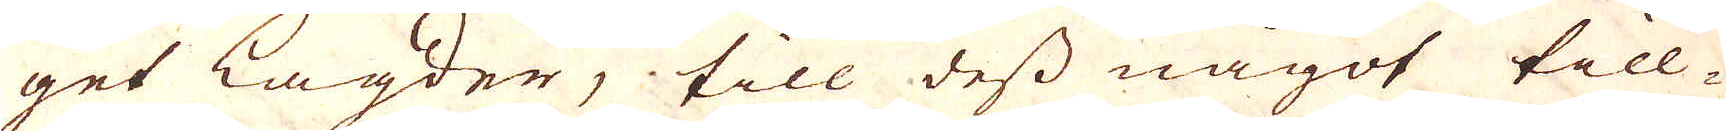get lagder, till dess något till-
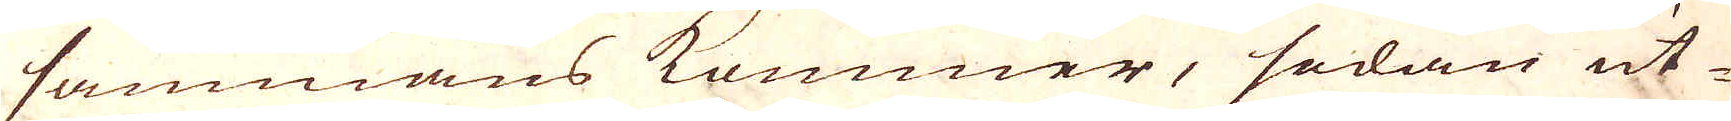sammans kommer, sedan ut
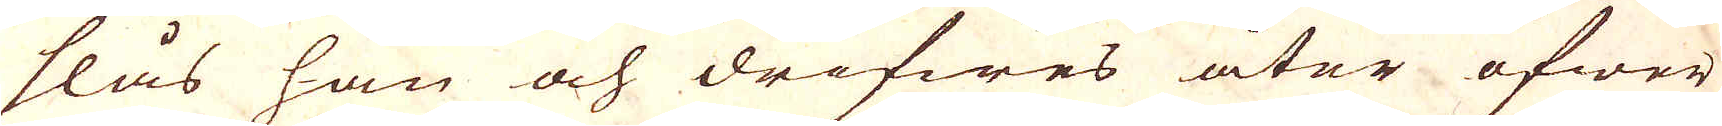slås han och drifwes åter öfwer
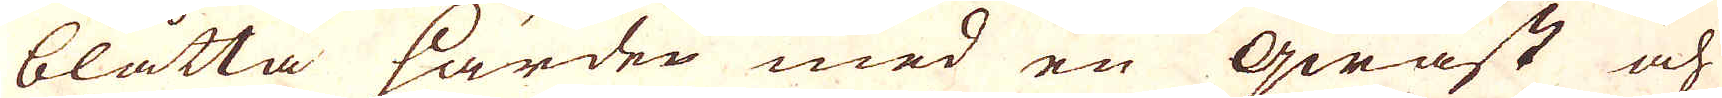blåtta härden med en qwast och
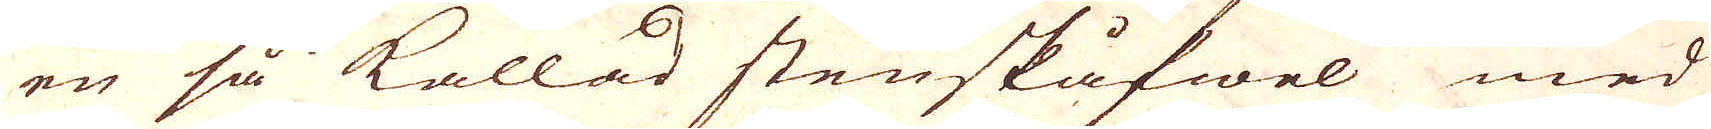en så kallad stenskåfwel med
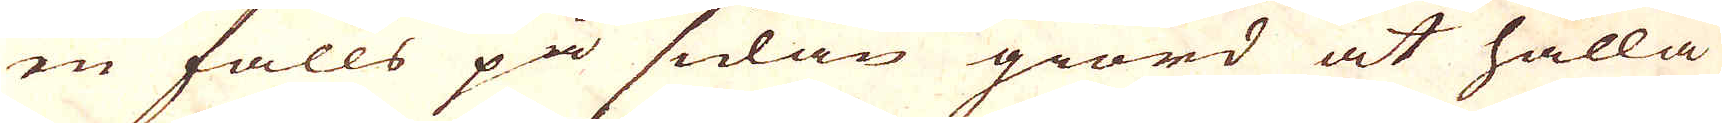en falls på sulan giord at hålla
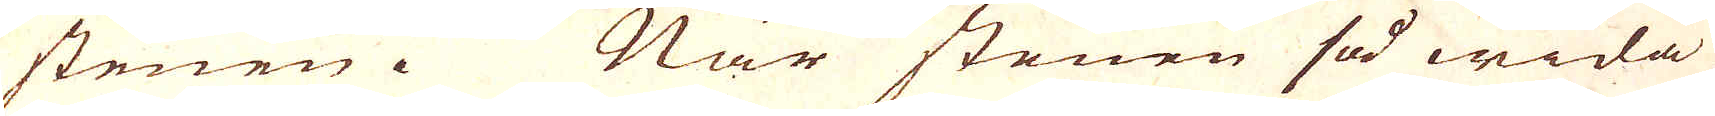stenen. När stenen så wida
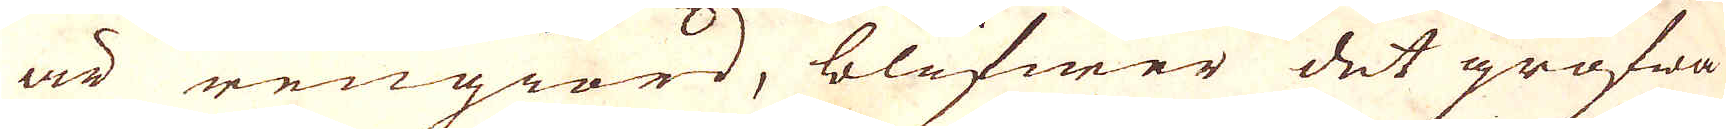är rengiord, blifwer det grofwa
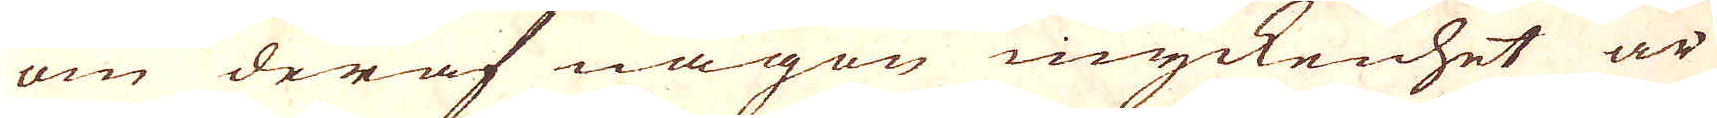om deraf någon myckenhet är
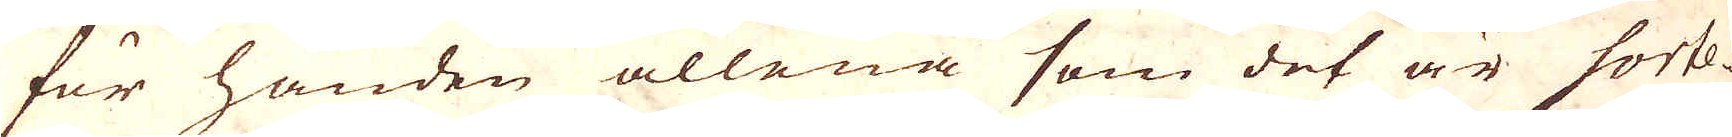för handen allena som det är sorte-
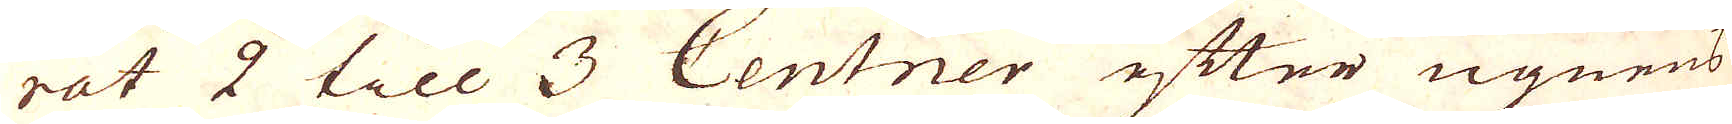rat 2 till 3 Centner efter ugnens
